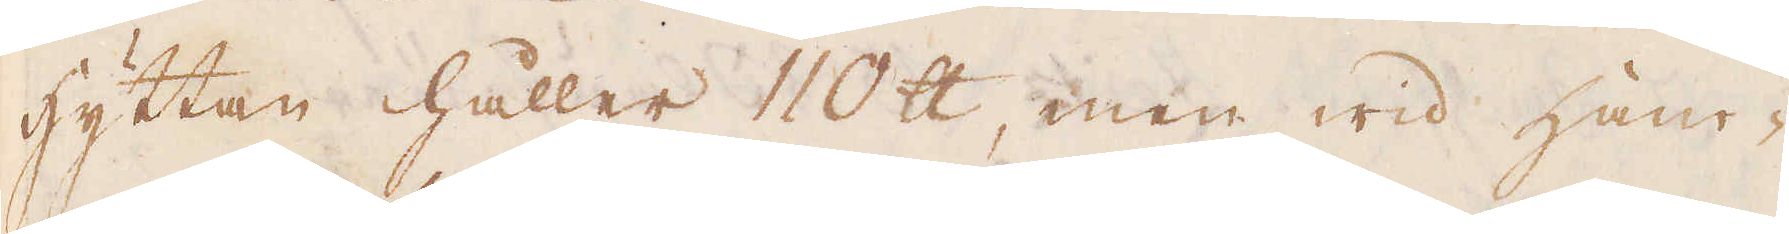hyttan håller 110 skålpund, men wid han-
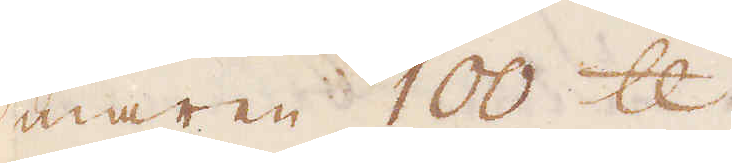maren 100 skålpund.
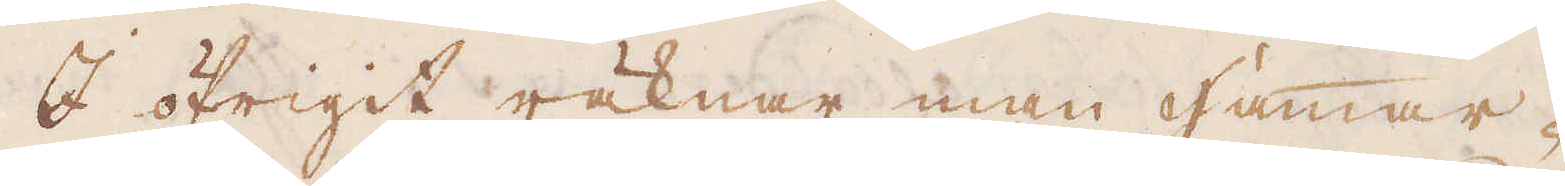I öfrigit räknar man Hammar-
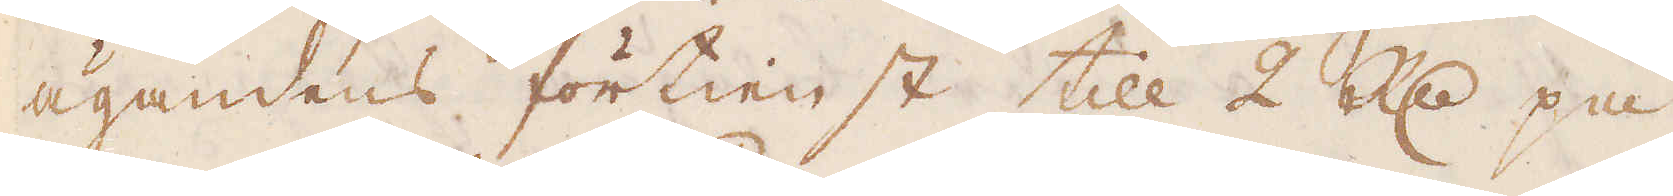ägandens förtienst till 2 R:dr på
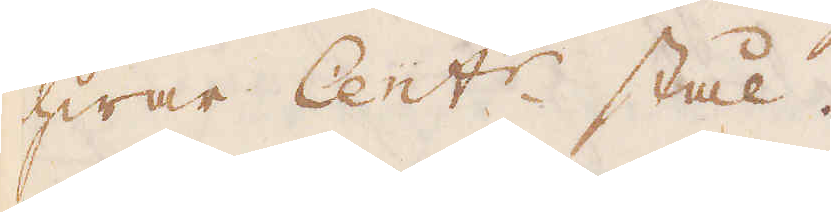hwar Cent:r stål.
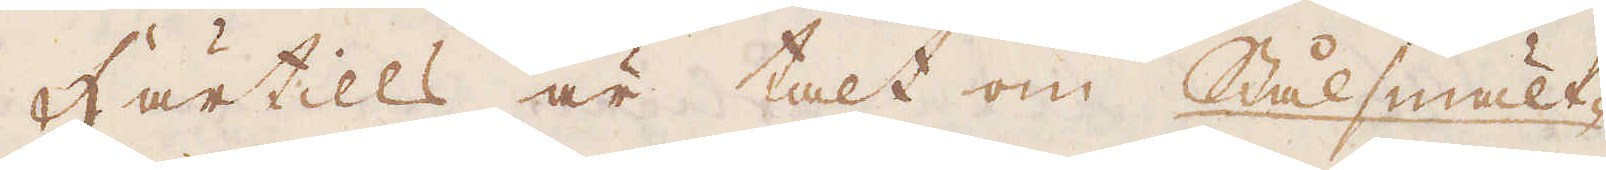Härtills är talt om Stålsmält-
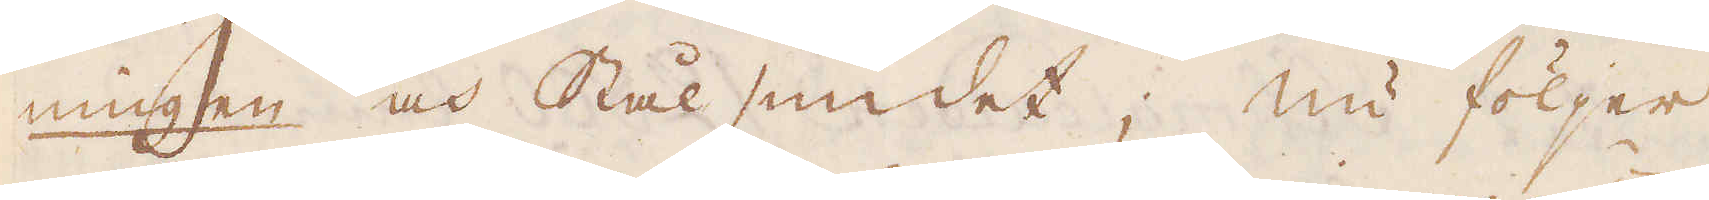ningen och Stål smidet; nu följer
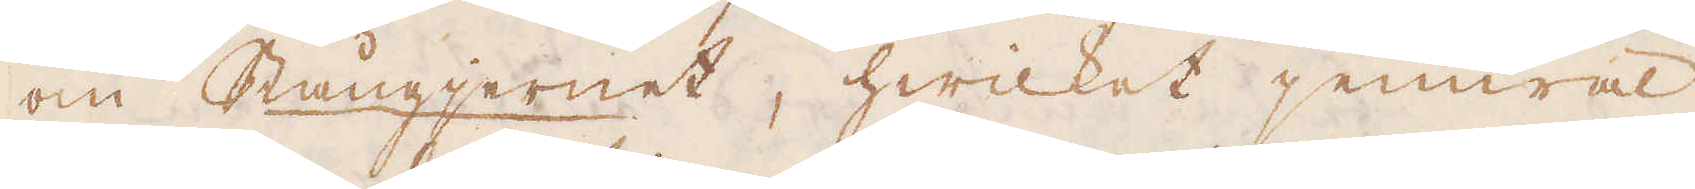om Stångjernet, hwilket jemwäl
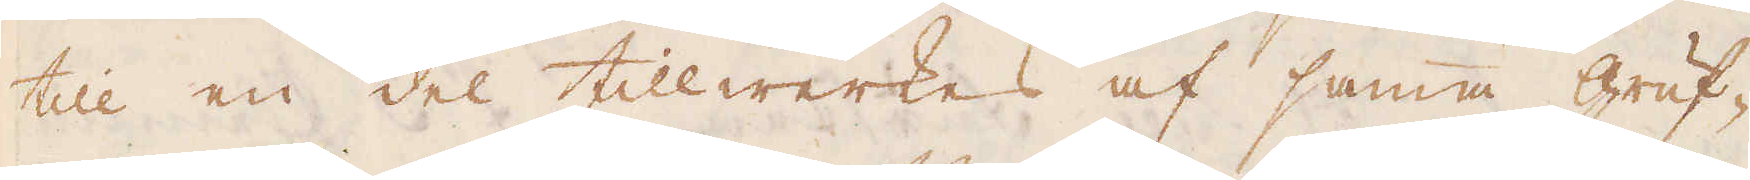till en del tillwerkas af samma gruf-
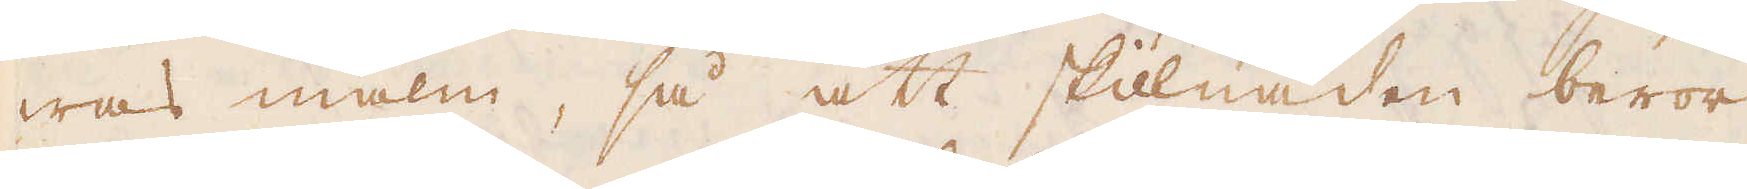was malm, så att skillnaden beror
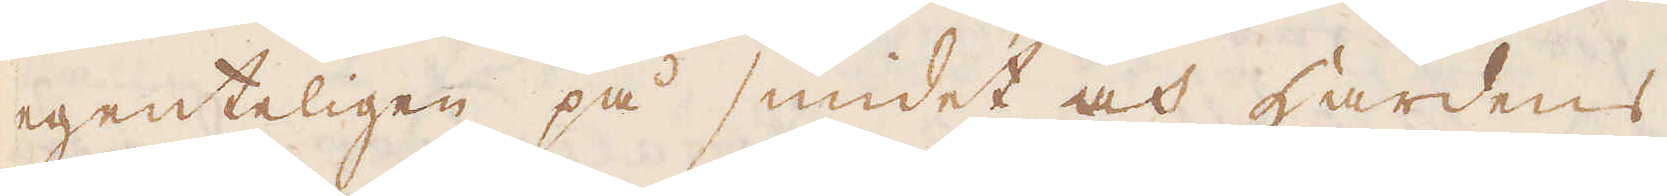egenteligen på smidet och Härdens
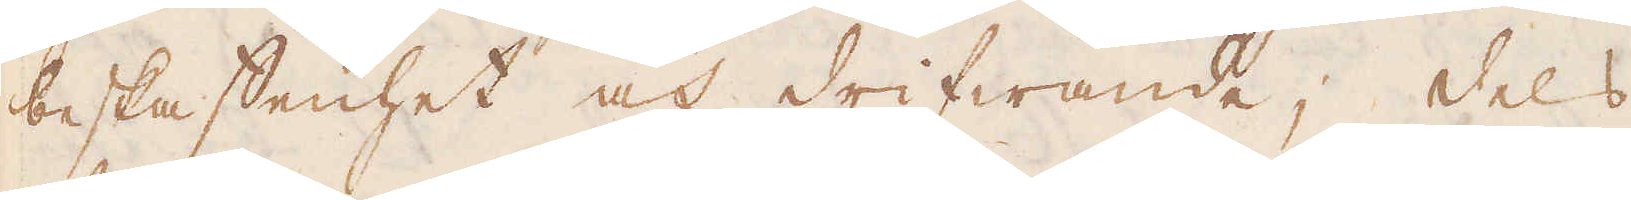beskaffenhet och drifwande; dels
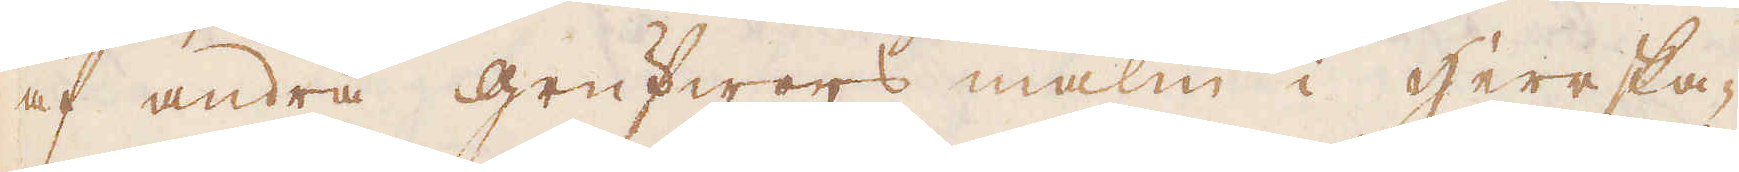af andra grufwors malm i herrska-
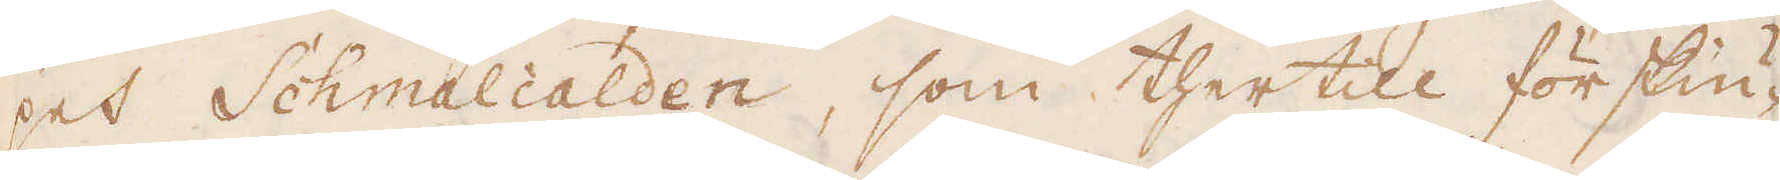pet Schmalcalden, som thertill förskiu-
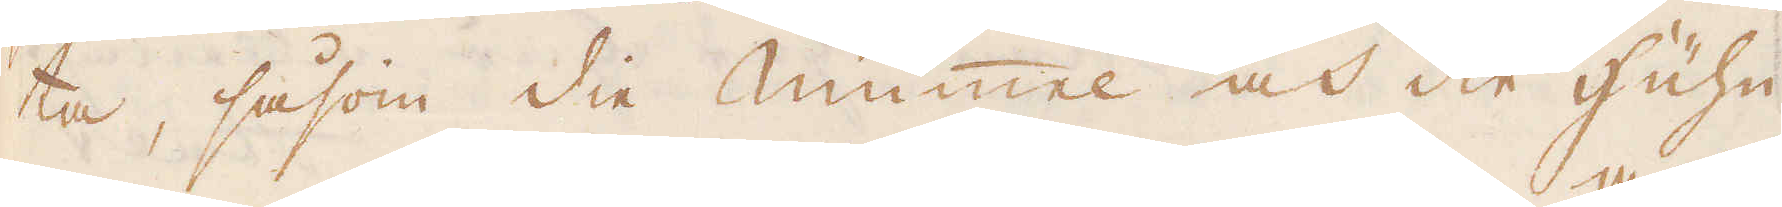ta, såsom die mummel och die Huhn
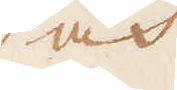och
